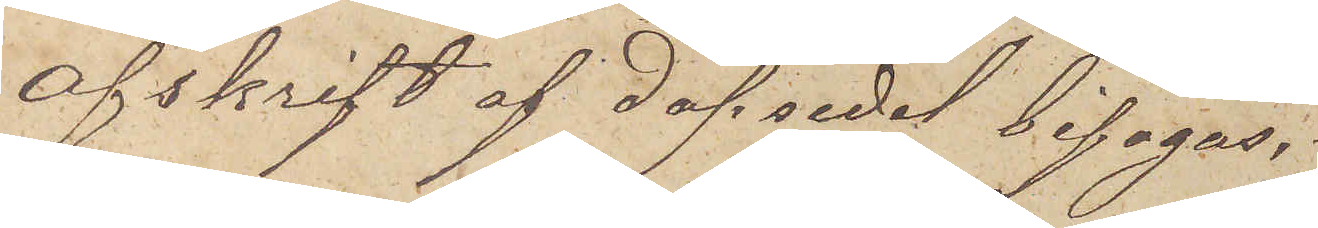Afskrift af dopsedel bifogas.
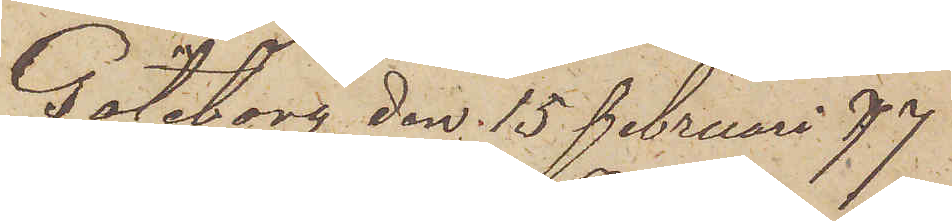Göteborg den 15 Februari 77
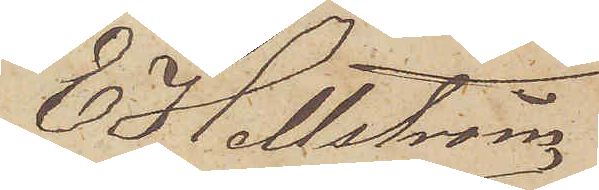E Hellström
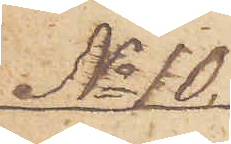No 10
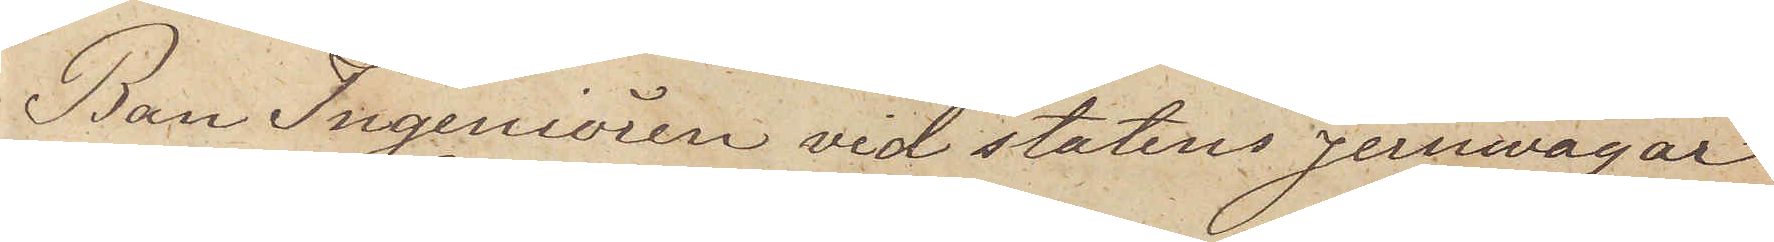Ban Ingeniören vid statens jernvägar
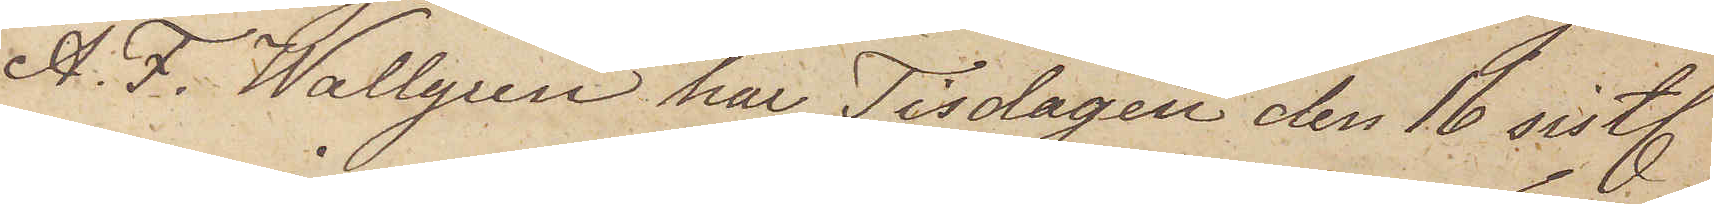A. F. Wallgren har Tisdagen den 16 sist.
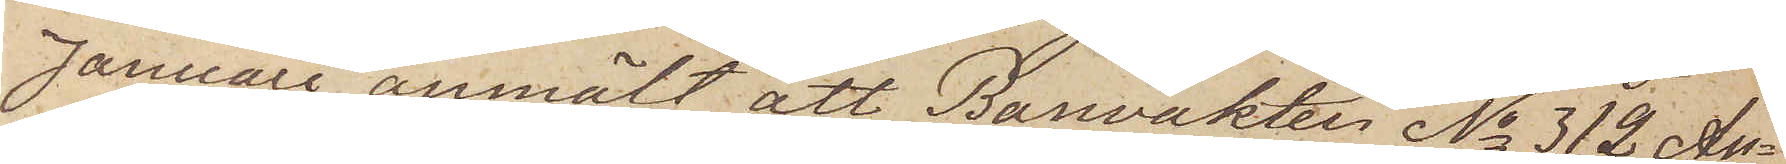Januari anmält att Banvakten No 312 An¬
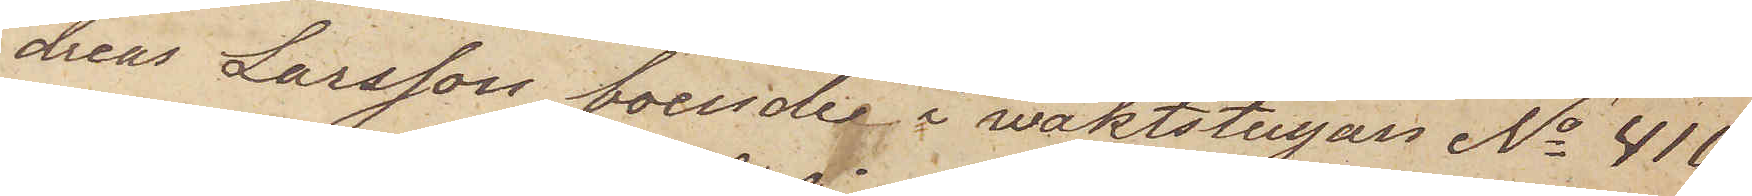dreas Larsson boende i vaktstugan No 410
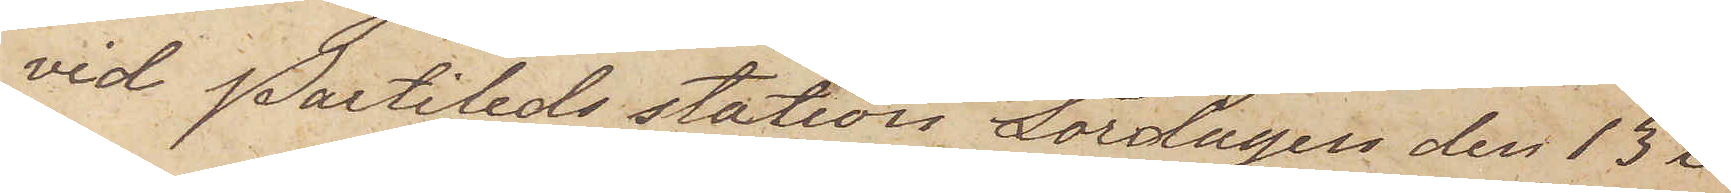vid Partileds station Lördagen den 13 i
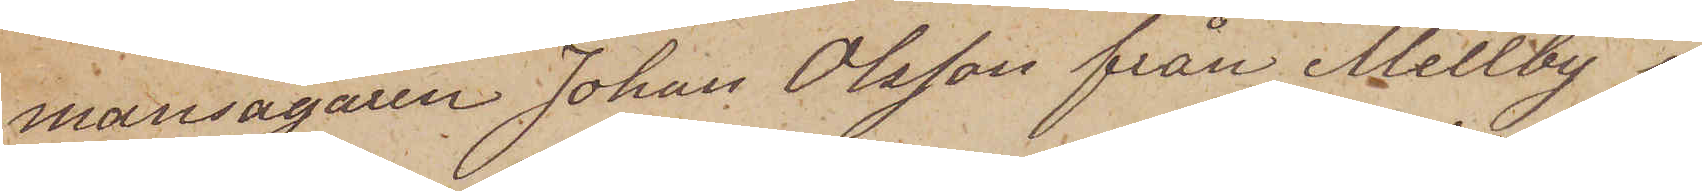mansägaren Johan Olsson från Mellby i
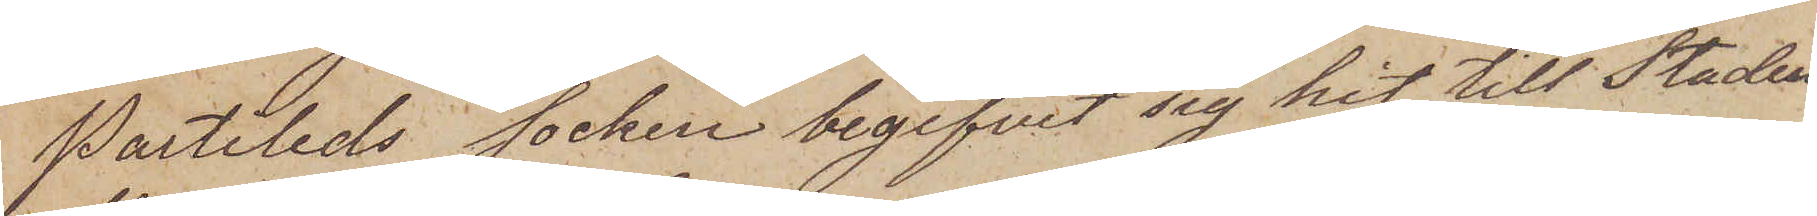Partileds socken begifvit sig hit till Staden
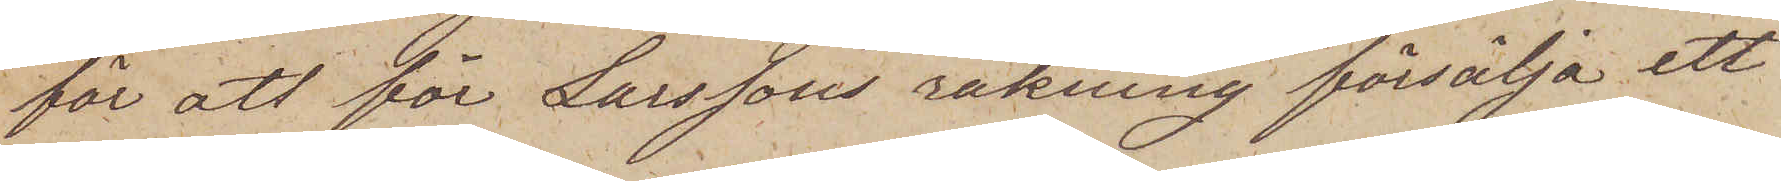för att för Larssons räkning försälja ett
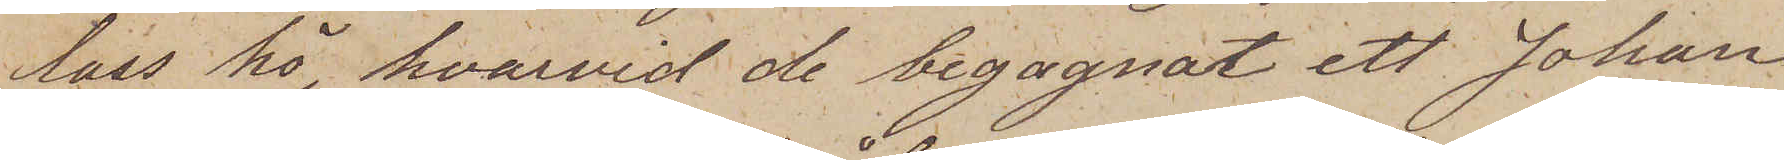lass hö, hvarvid de begagnat ett Johan
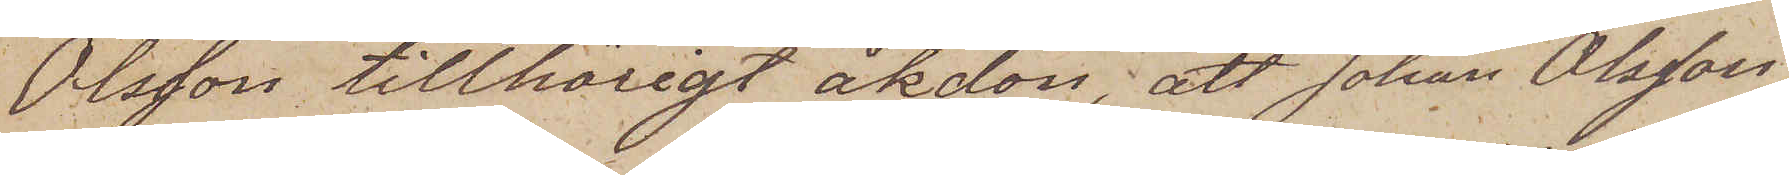Olsson tillhörigt åkdon; att Johan Olsson
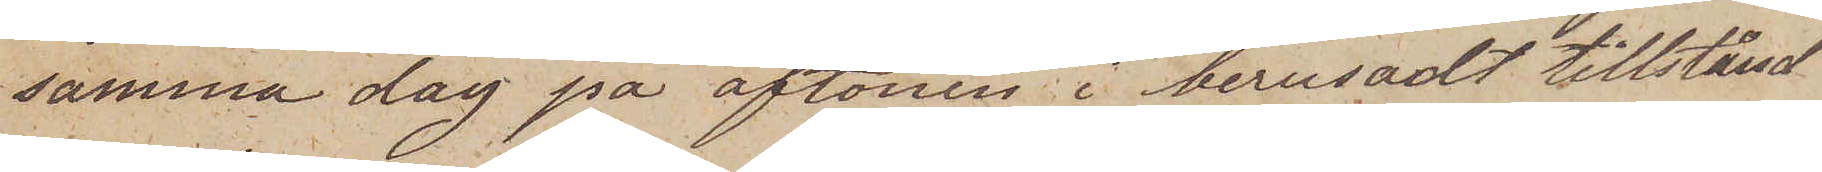samma dag på aftonen i berusadt tillstånd
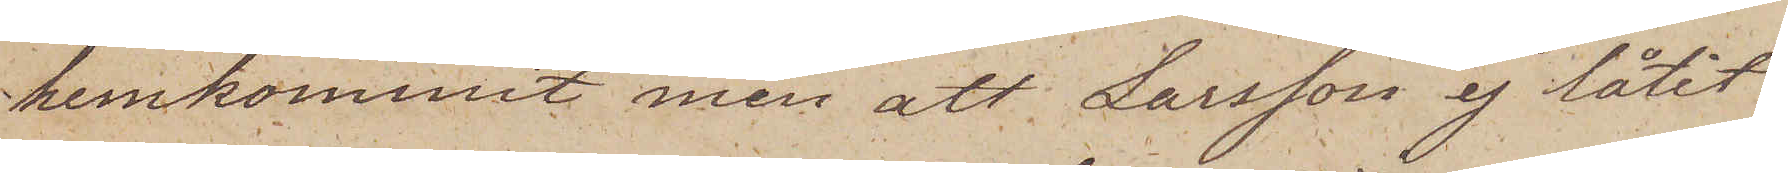hemkommit men att Larsson ej låtit
